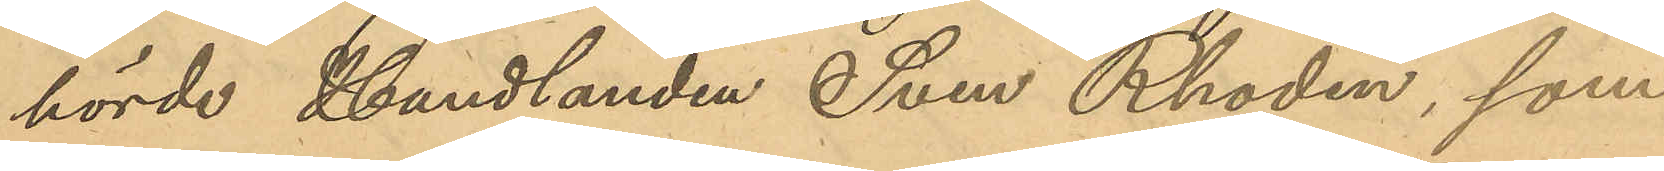hörde Handlanden Sven Rhodin, som
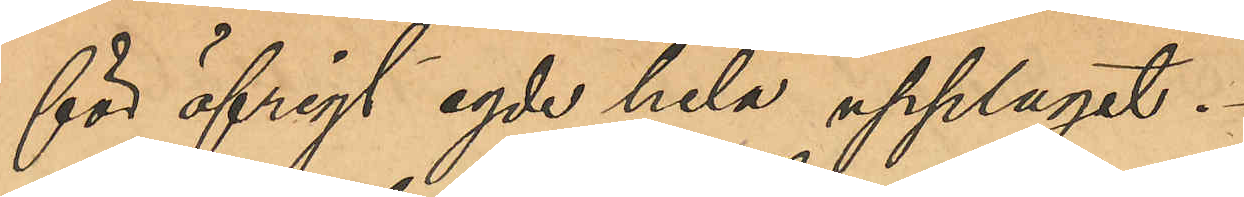för öfrigt egde hela upplaget.
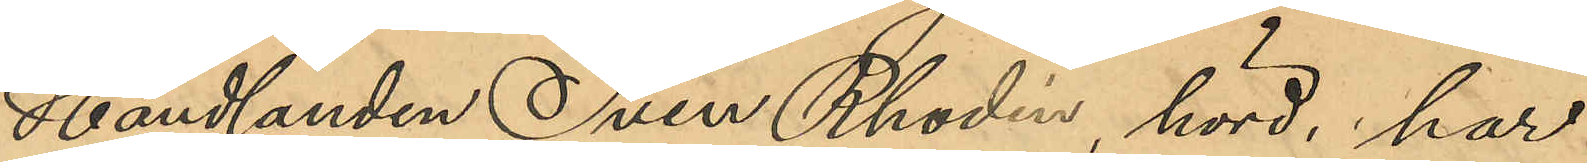Handlanden Sven Rhodin, hörd, har
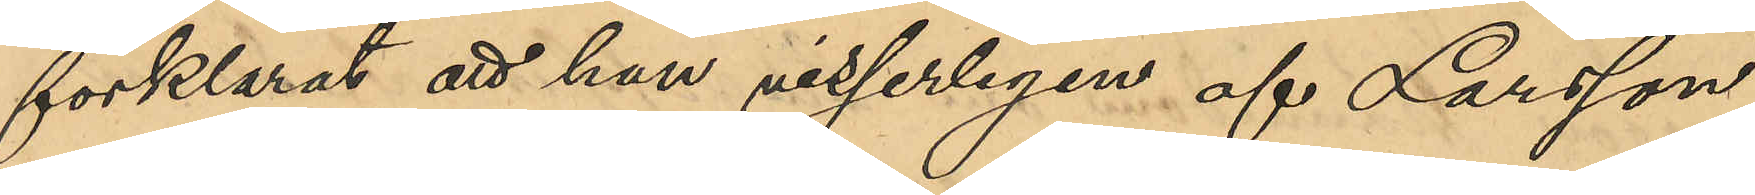förklarat att han visserligen af Larsson
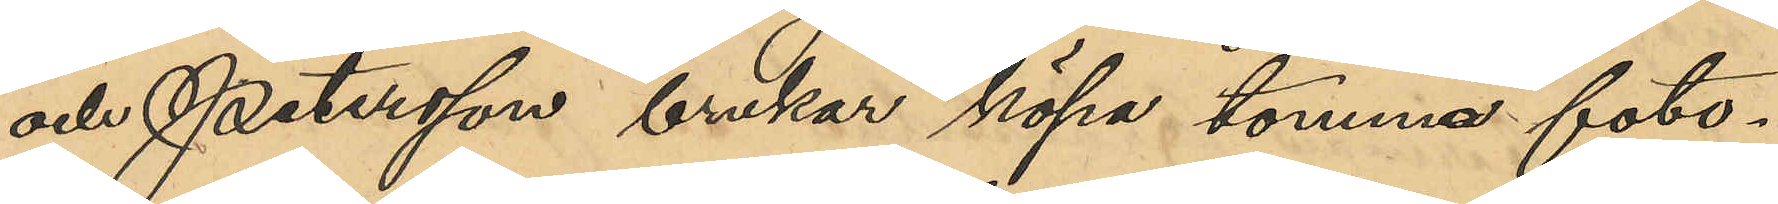och Petersson brukar köpa tomma foto¬
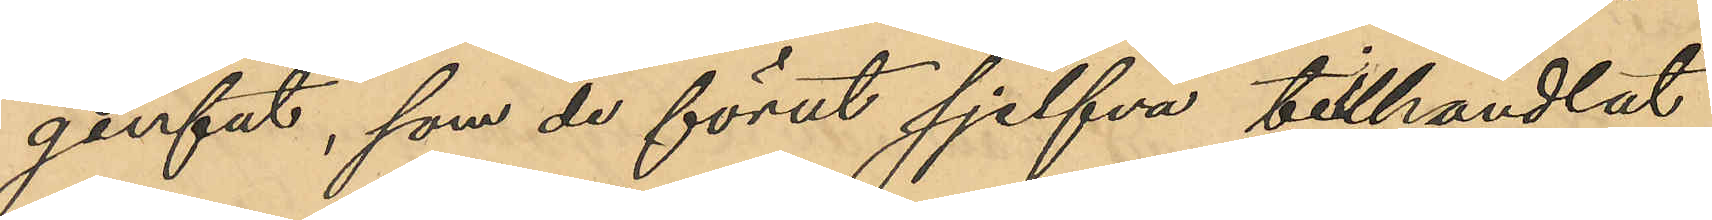genfat, som de först sjelfva tillhandlat
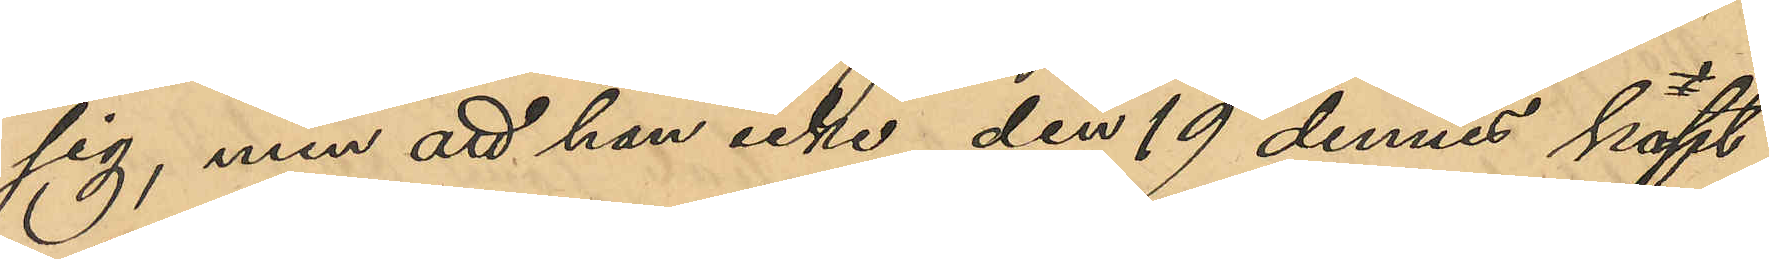sig, men att han icke den 19 dennes köpt
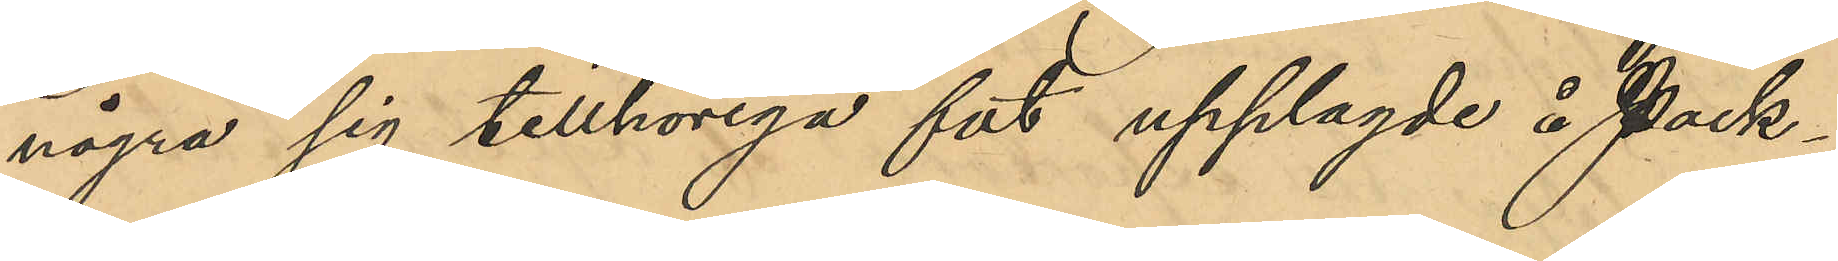några sig tillhöriga fat upplagde å Pack¬
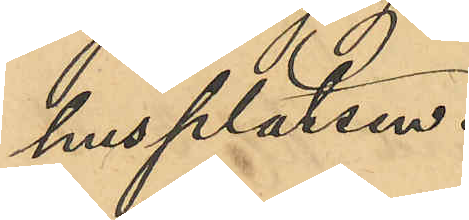husplatsen.
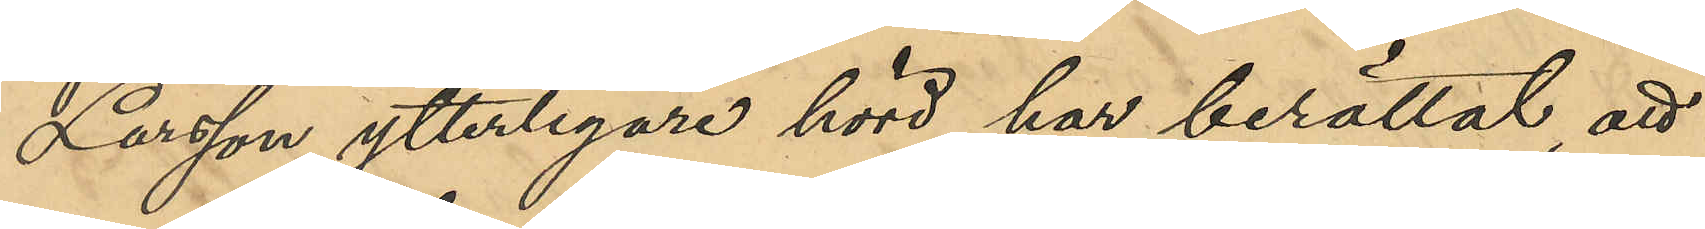Larsson, ytterligar hörd har berättat, att
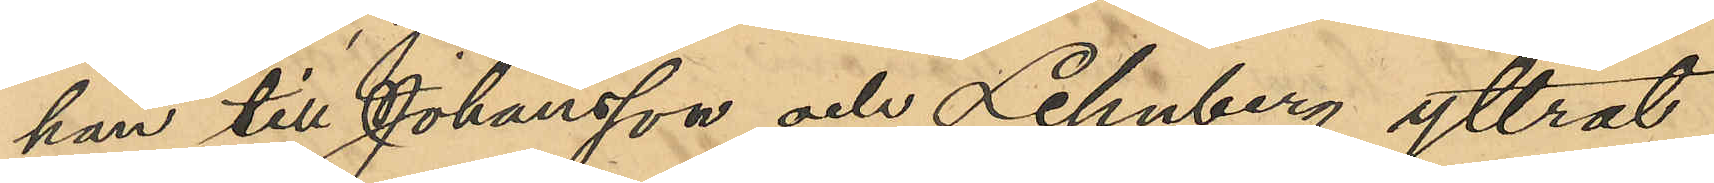han till Johansson och Lehnberg yttrat
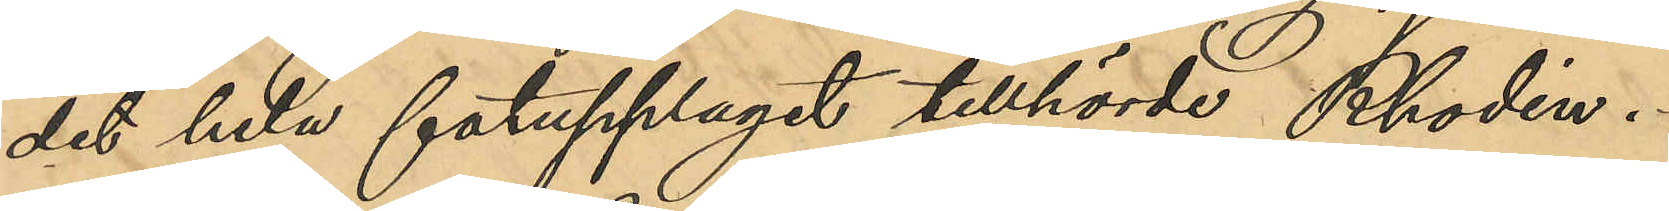det hela fatupplaget tillhörde Rhodin.
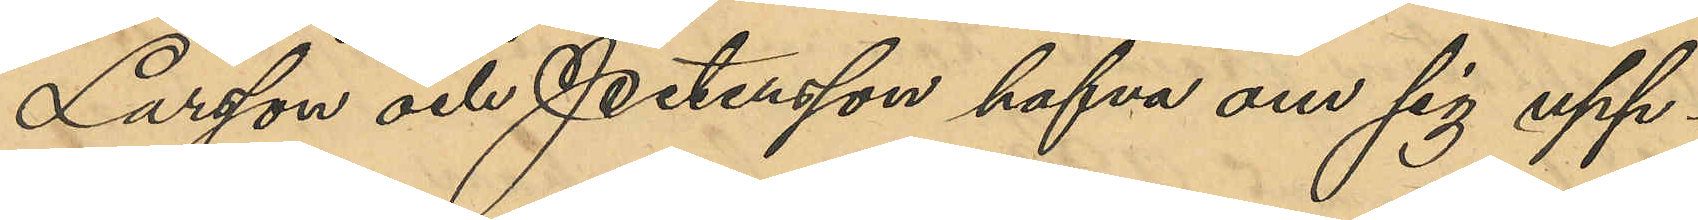Larsson och Petersson hafva om sig upp¬
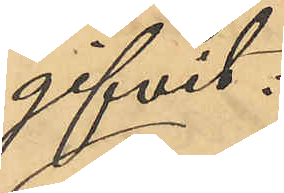gifvit:
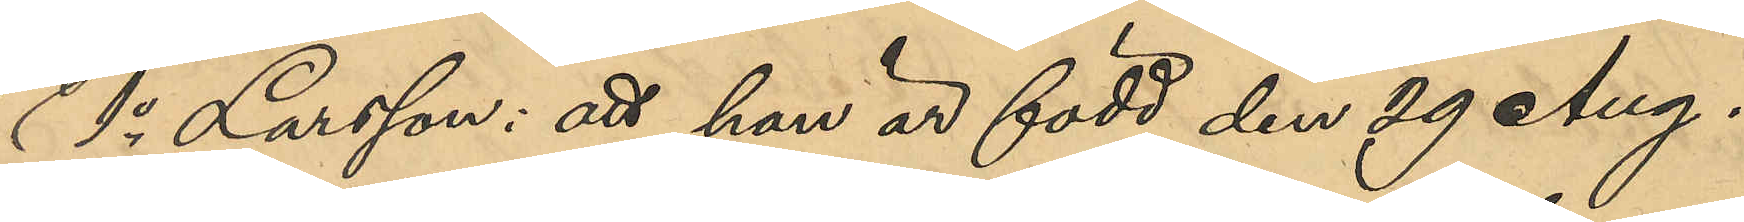1o Larsson: att han är född den 29 Aug.
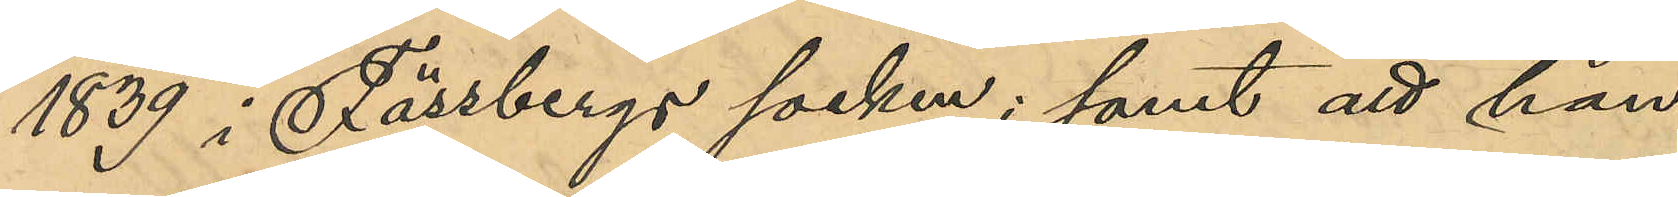1839 i Fässbergs socken; samt att han
